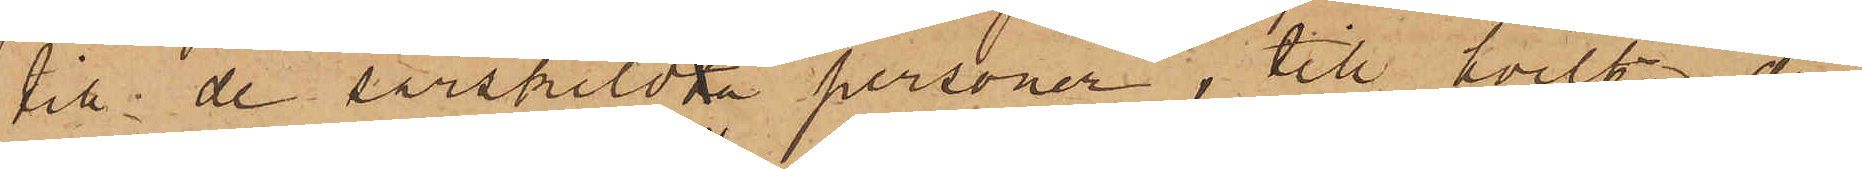till de särskildta personer, till hvilka de¬
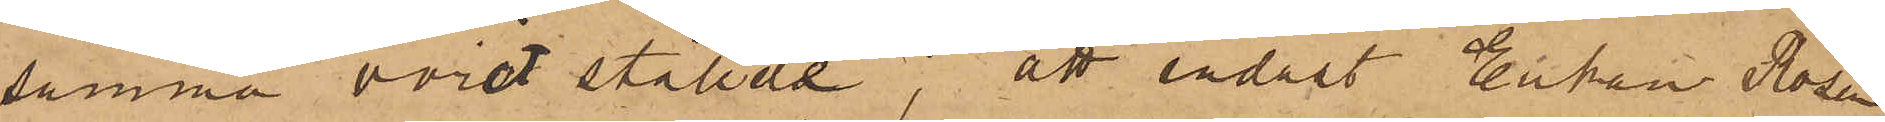samma varit ställde;  att endast Enkan Rosen¬
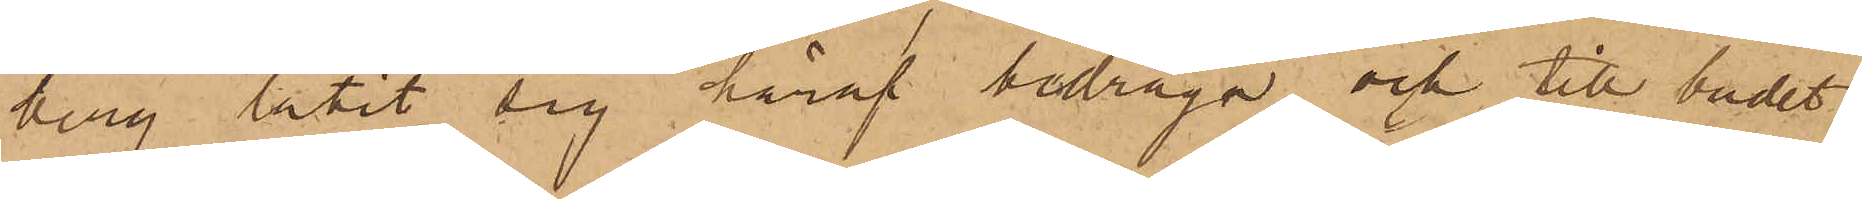berg låtit sig häraf bedraga och till budet
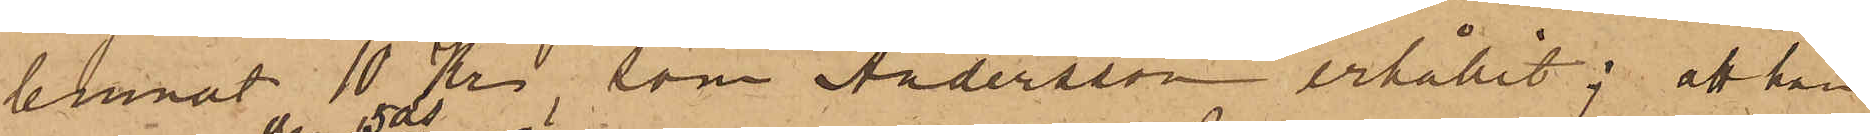lemnat 10 Kr, som Andersson erhållit; att han
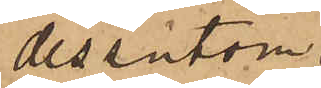dessutom.
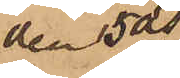den 5 ds
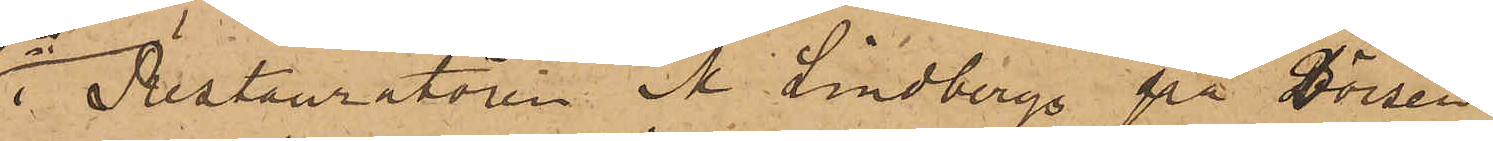i Restauratören N. Lindbergs på Börsen
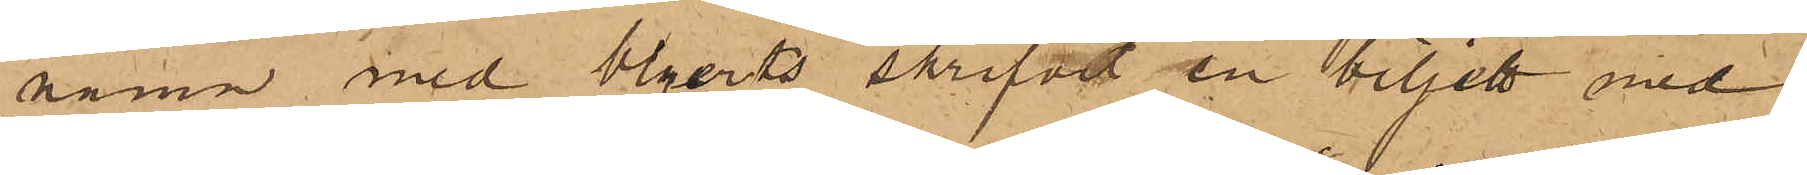namn med blyerts skrifvit en biljett med
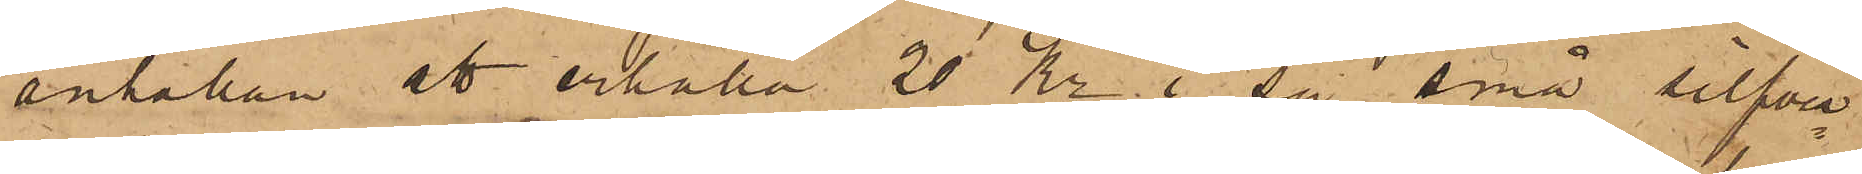anhållan att erhålla 20 Kr. "i så små silfver¬
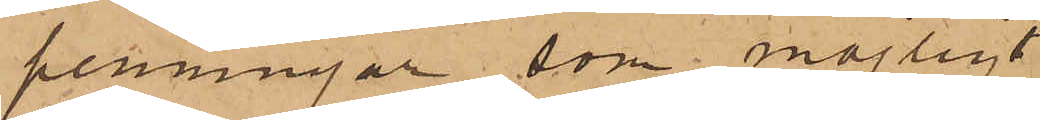penningar, som möjligt ",
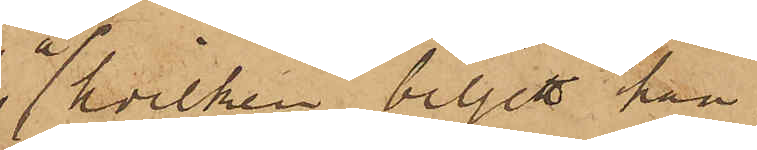å hvilken biljett han
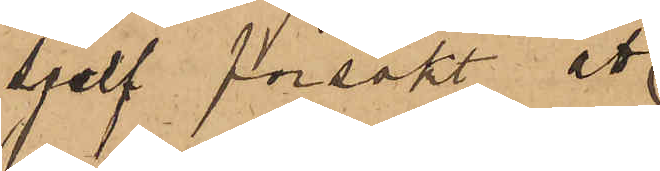sjelf försökt att
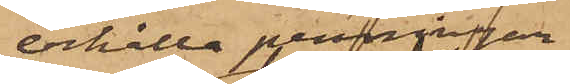erhålla penninngar
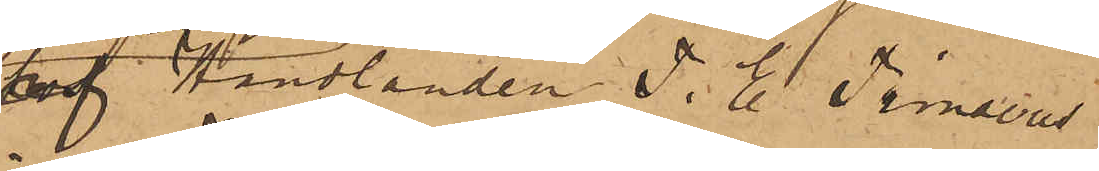af Handlanden T. E. Timaeus
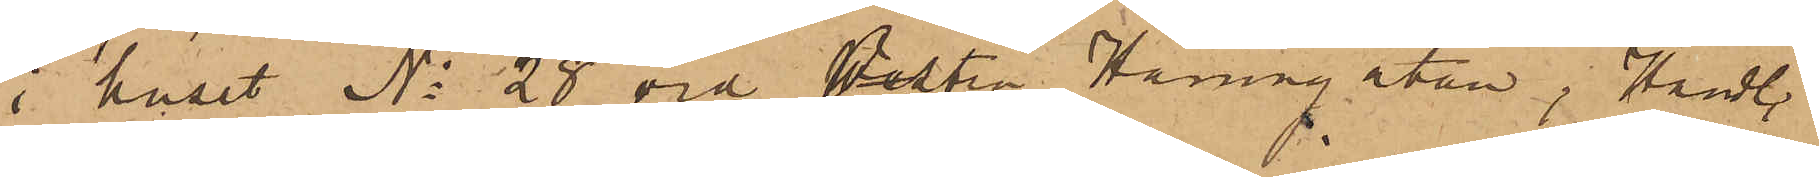i huset No 28 vid Östra Hamngatan; Handl.
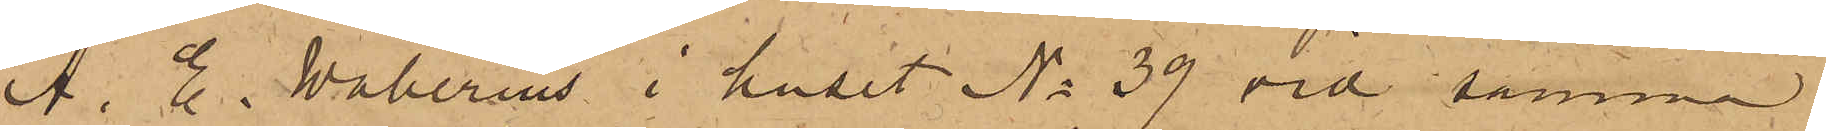A. E. Wallerius i huset No 39 vid samma
